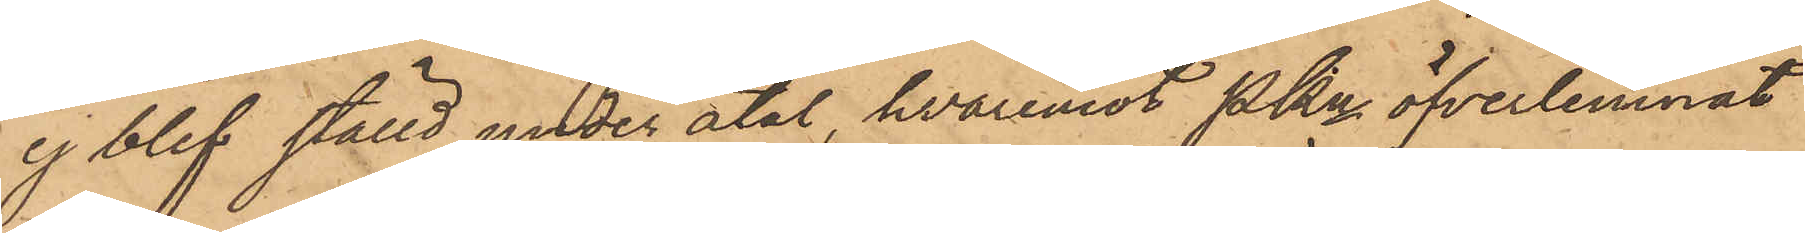ej blef ställd under åtal, hvaremot Pkn öfverlemnat
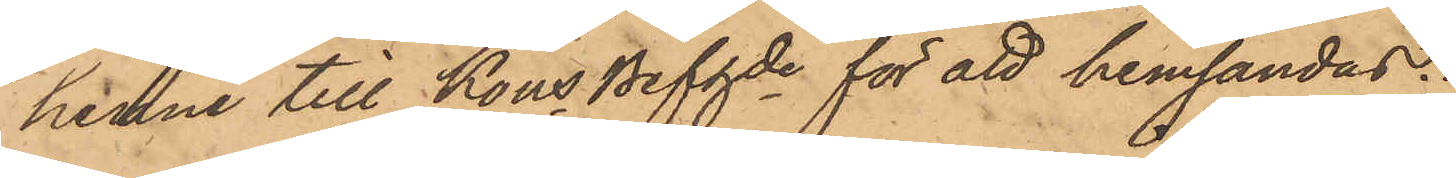henne till Kons Befgde för att hemsändas.
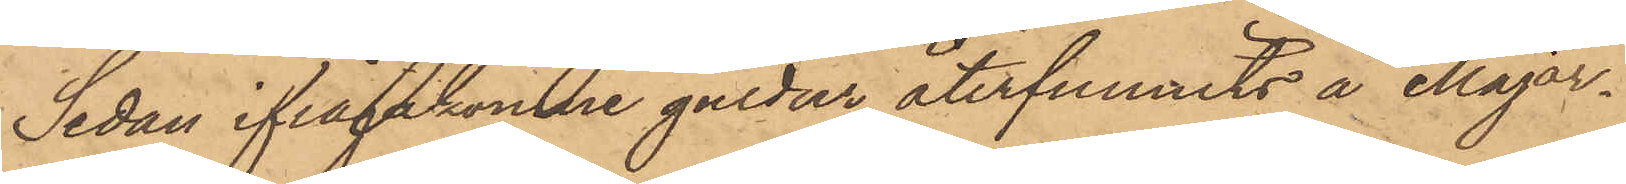Sedan ifrågakomne guldur återfunnits å Major¬
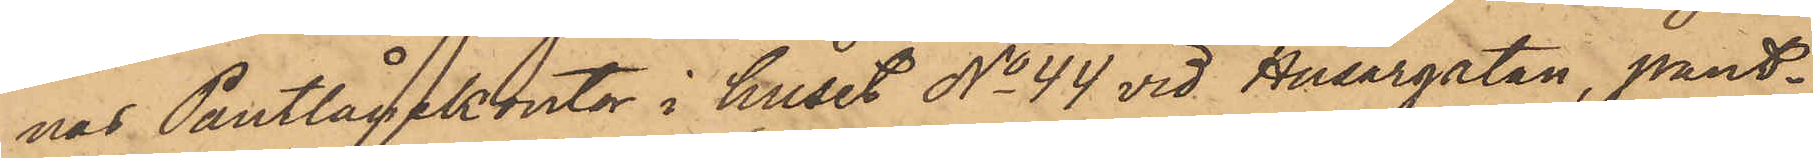nas Pantlånekontor i huset No 44 vid Husargatan, pant¬
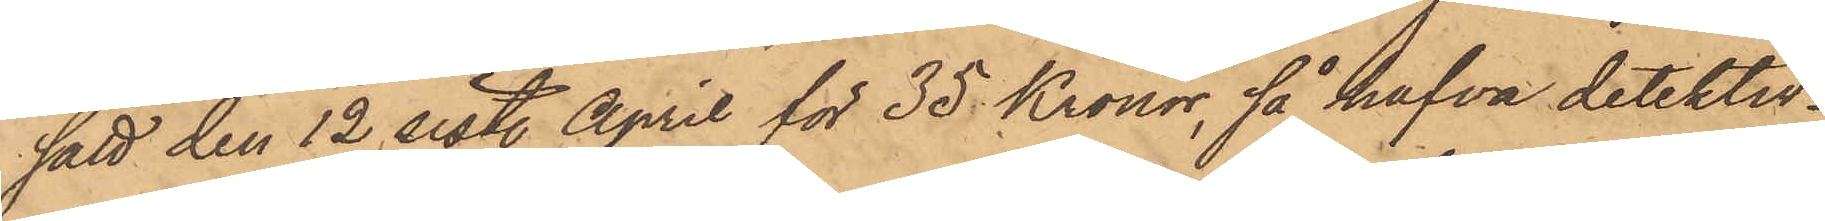satt den 12 sist. April för 35 Kronor, så hafva detektiv¬
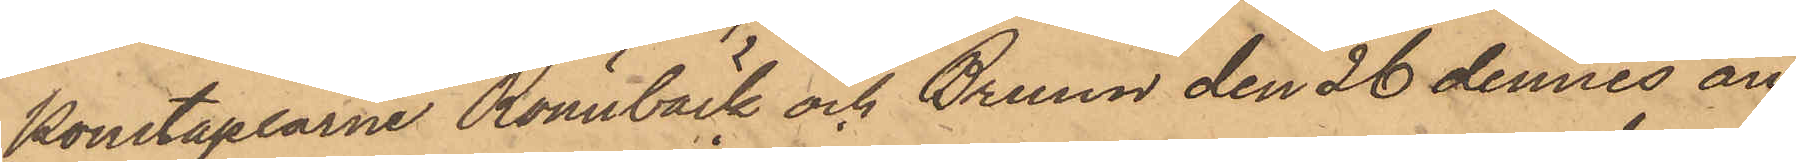konstaplarne Rönnbäck och Bruun den 26 dennes an¬
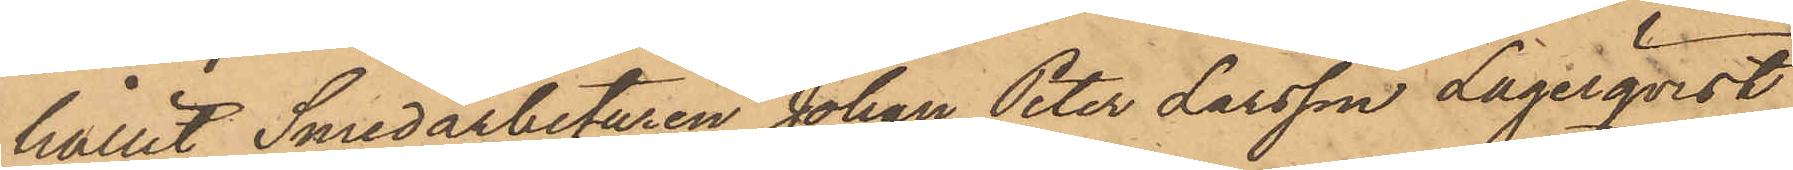hållit Smedarbetaren Johan Peter Larsson Lagerqvist,
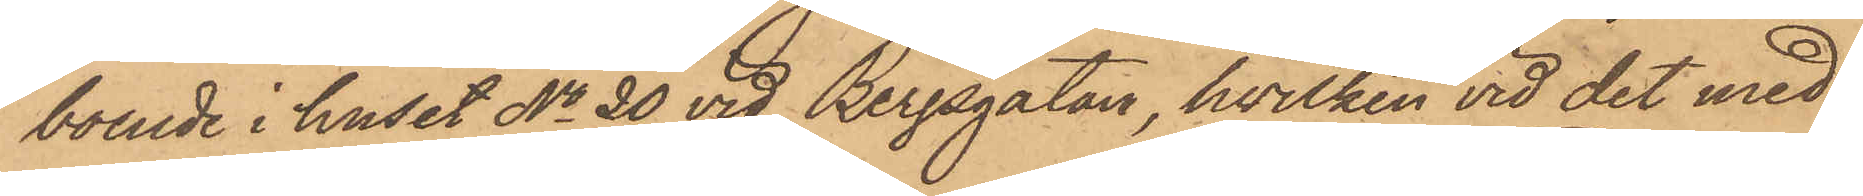boende i huset No 20 vid Bergsgatan, hvilken vid det med
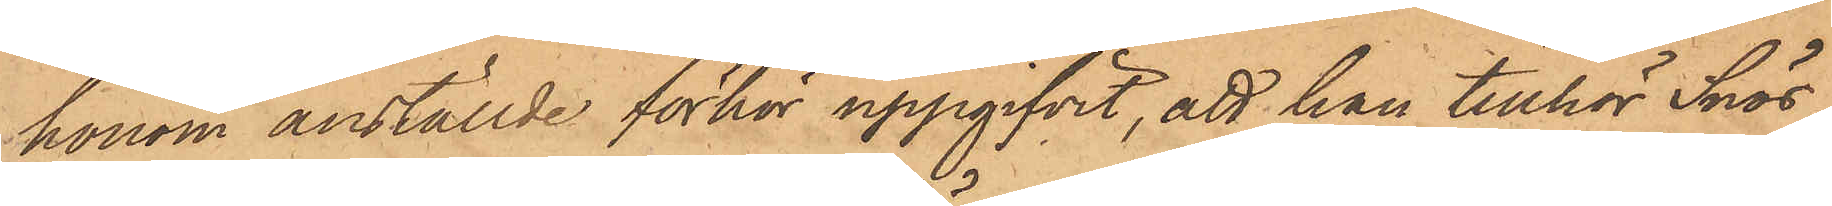honom anställde förhör uppgifvit, att han tillhör Snös¬
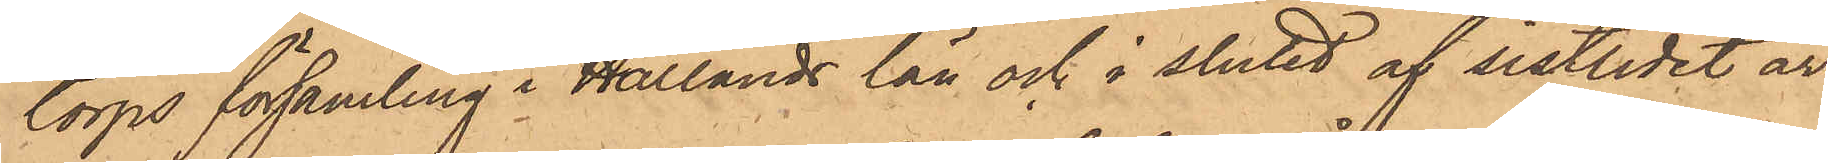torps församling i Hallands län och i slutet af sistlidet år
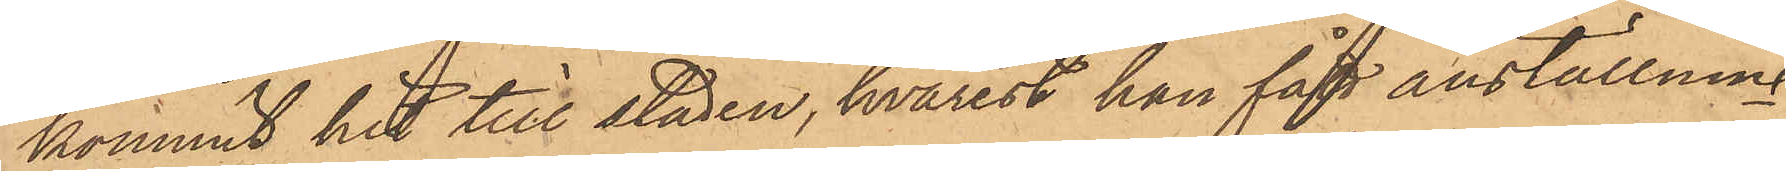kommit hit till staden, hvarest han fått anställning
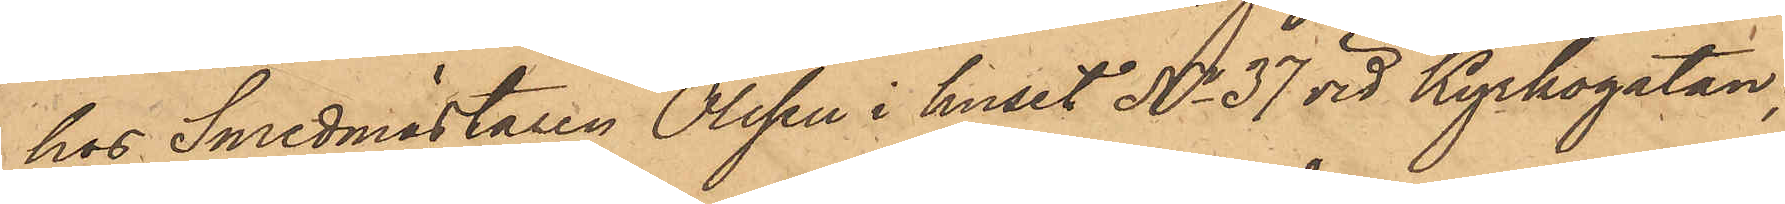hos Smedmästaren Olsson i huset No 37 vid Kyrkogatan;
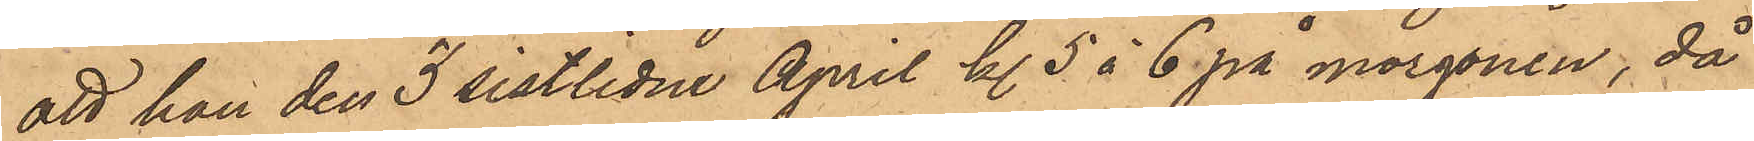att han den 3 sistlidne April kl. 5 à 6 på morgonen, då
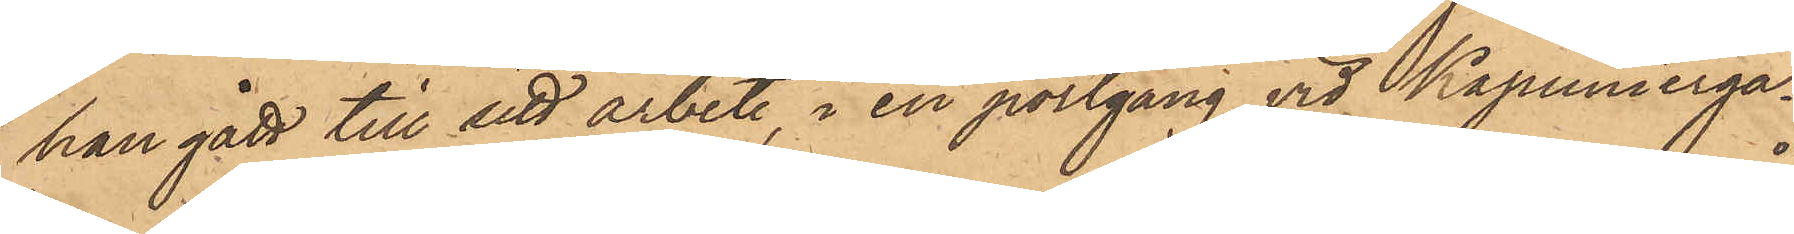han gått till sitt arbete, i en portgång vid Kapunierga¬
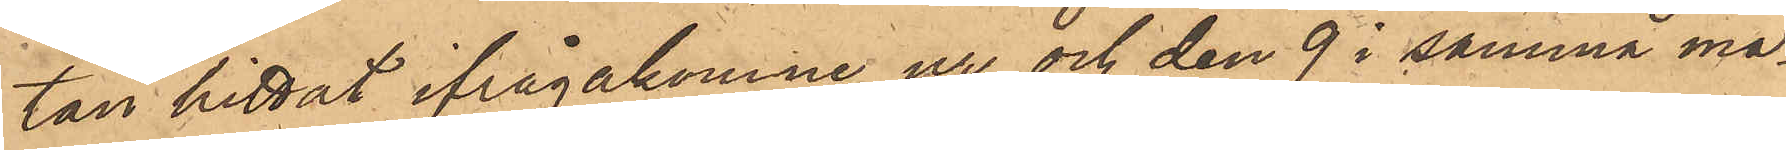tan hittat ifrågakomne ur och den 9 i samma må¬
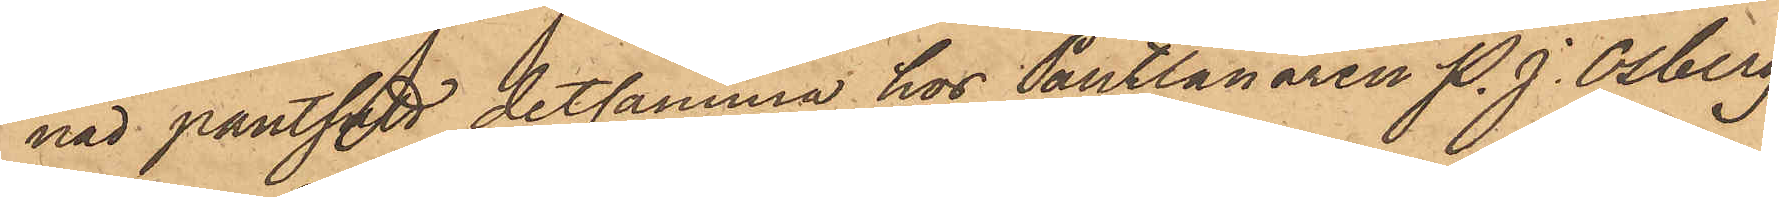nad pantsatt detsamma hos Pantlånaren P. J. Osberg
